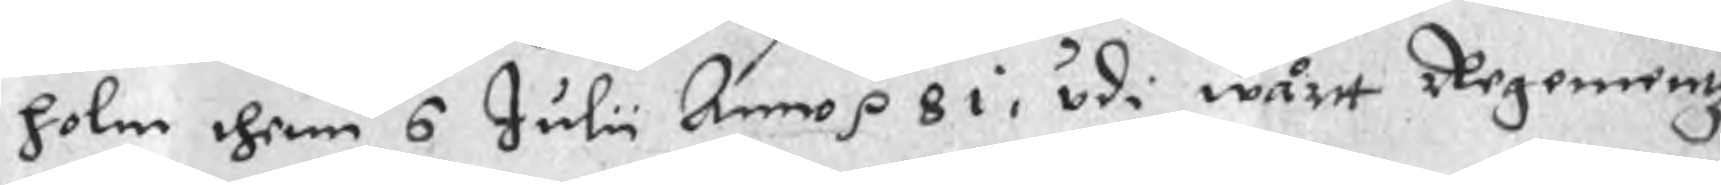holm thenn 6 Julii Anno p  81, udi wårt Regementz
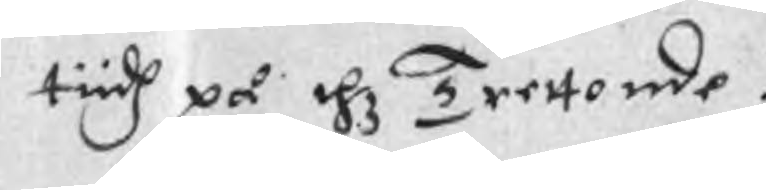tiidh på thz Trettonde.
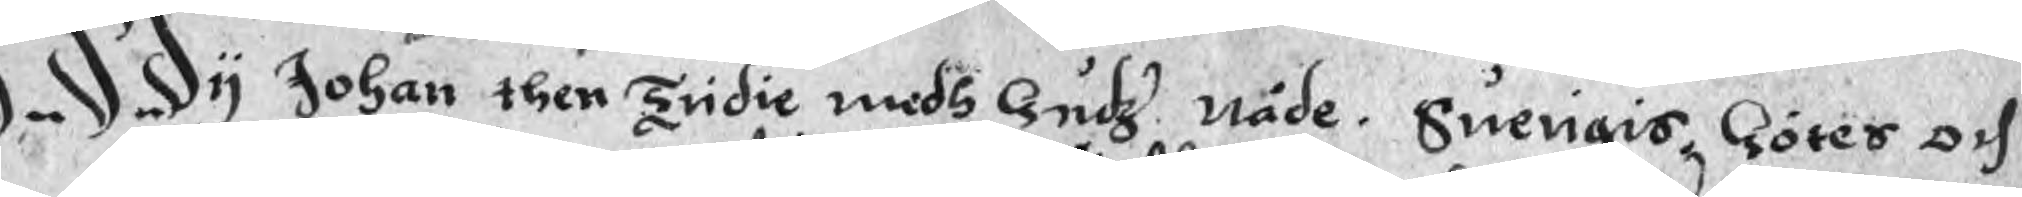Wy Johan then Tridie medh Gudz nåde. Swerigis, Götes och
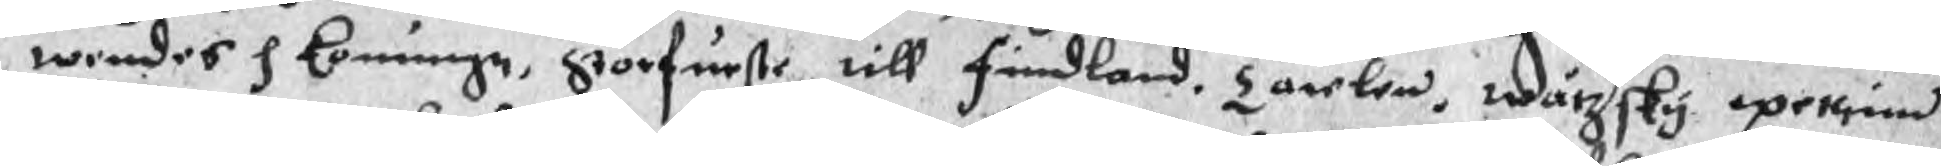wendes p Konungn, Storfurste till Findland, Carlen, wårsky pethind
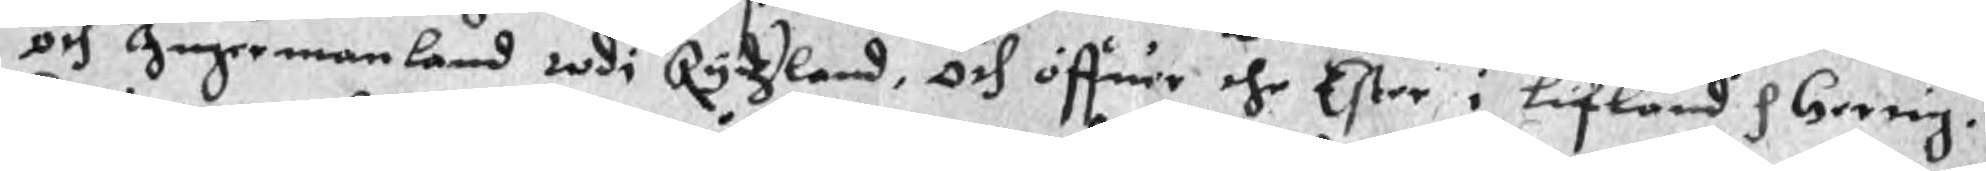och Ingermanland wdi Rydzland, och öffuer the Ester i Lifland p hertig.
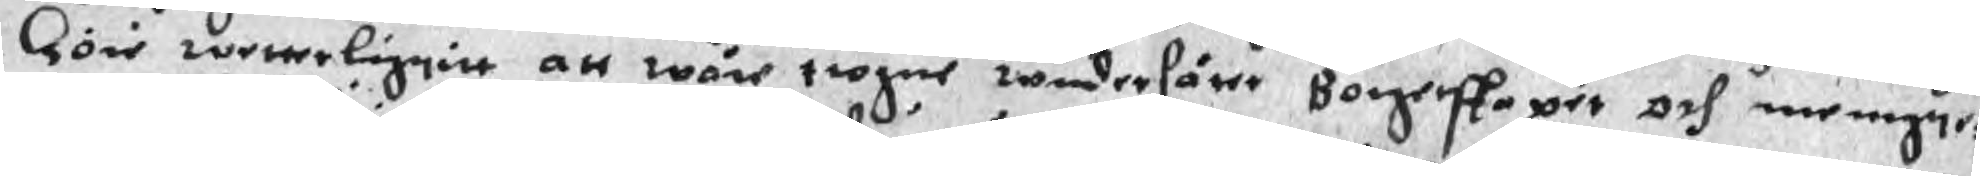Göir wetterliggitt att wåre trogne wndersåter Borgerskaper och menigte¬
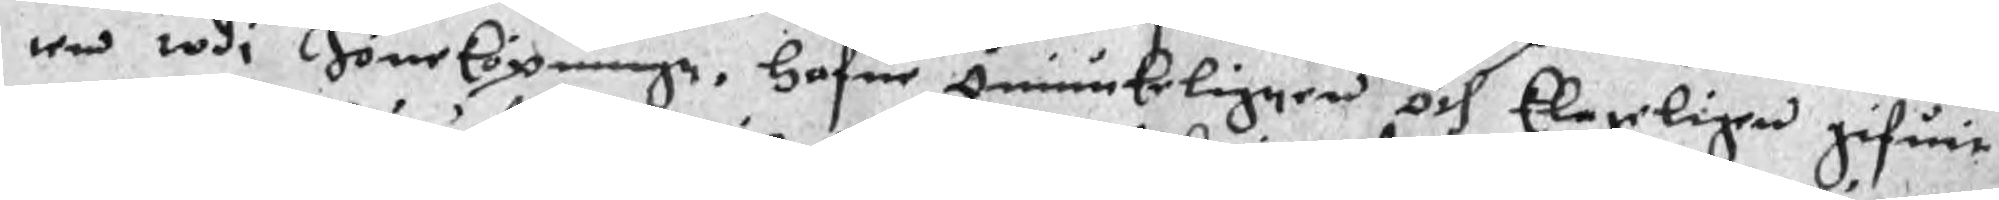wed wdi Jöneköpningz, Hafue Ödmiukeligeen och klareligen gifuit
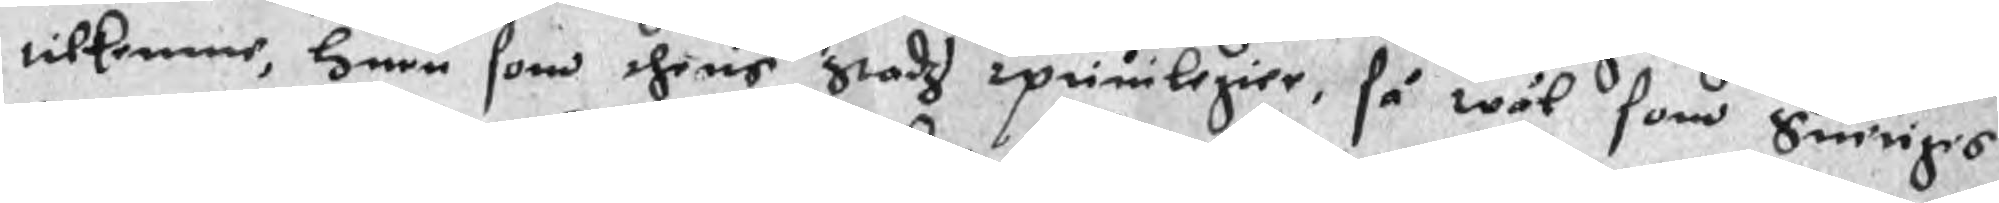tilkenne, huru som dheris Stadz priulegier, så wäl som Suiriges
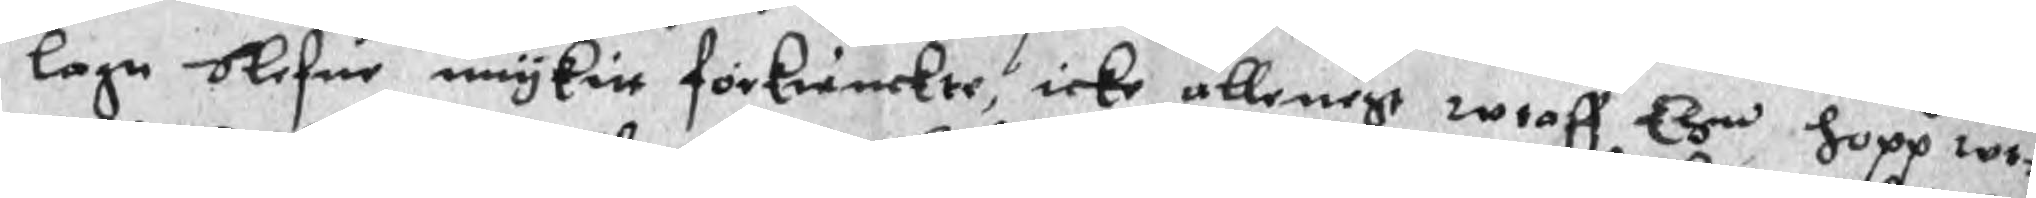lagn blefue mykitt förkrinckte, icke allenest wtaff Ehn hopp wt¬
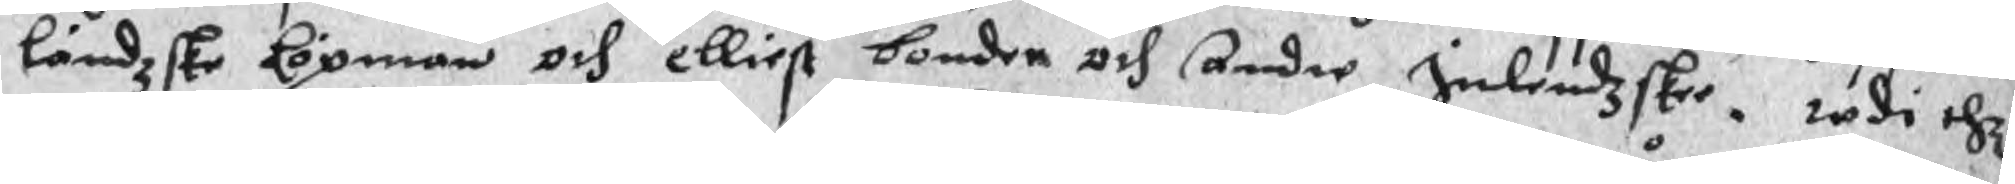ländzske köpmän och elliest bonder och andre Inlendzskee. wdi thz
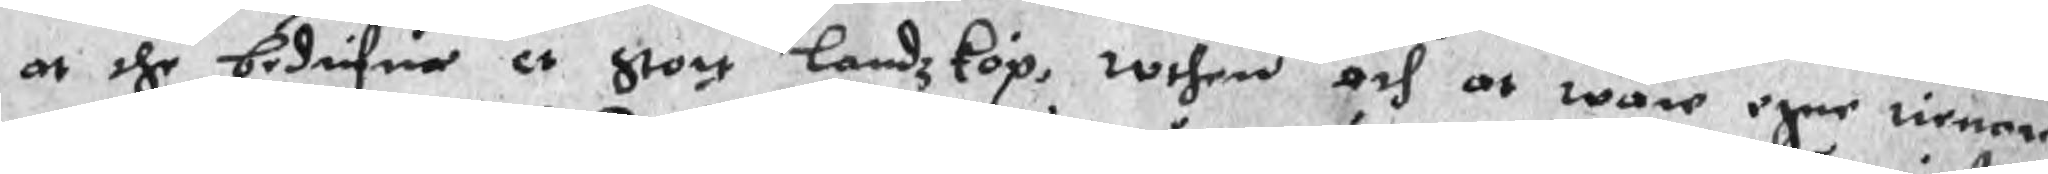at the bedrifua et stort Landzköp, wthen och at wåre egne tienere
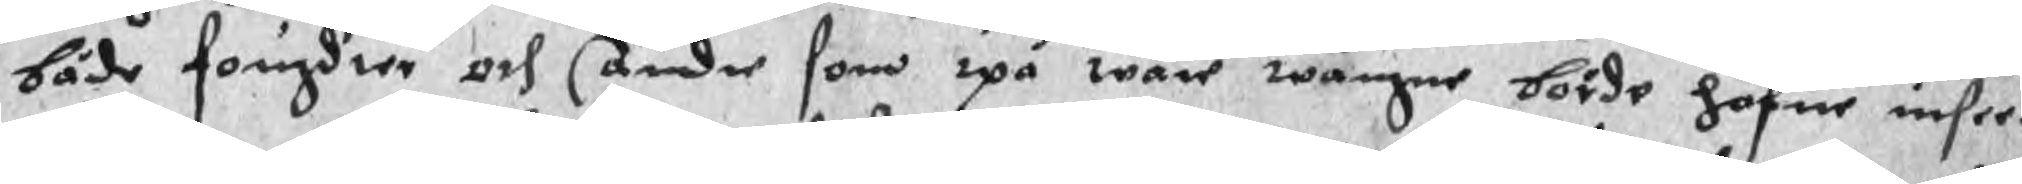både fougdier och andre som upå wåre wägne börde hafue insee¬
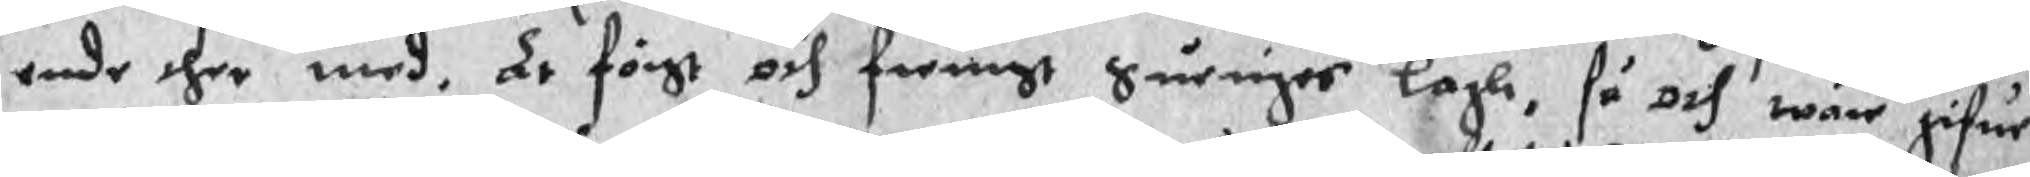ende ther med, är först och fremst Sueriges lagh, så och wåre gifue
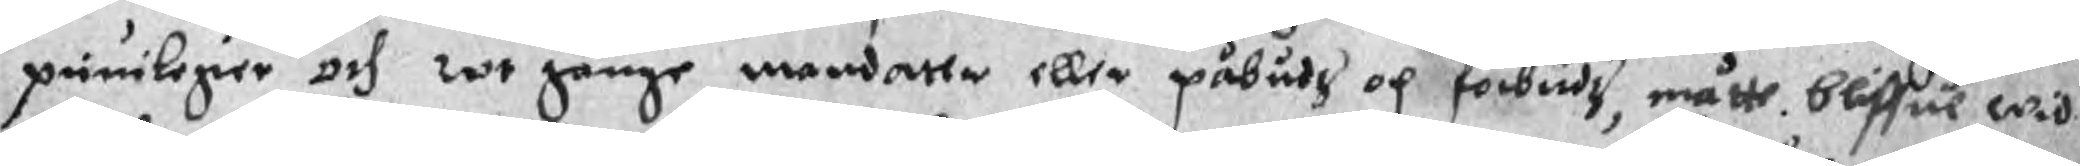priuilegier och wt gånge mandatte eller påbudz och förbudz, måtte bliffue wid
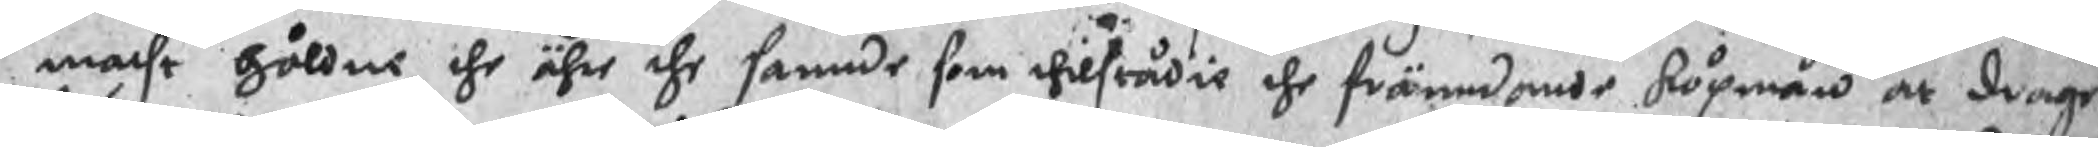macht håldne, the ähre the sannde som thilstädie the främdande köpmän at drage
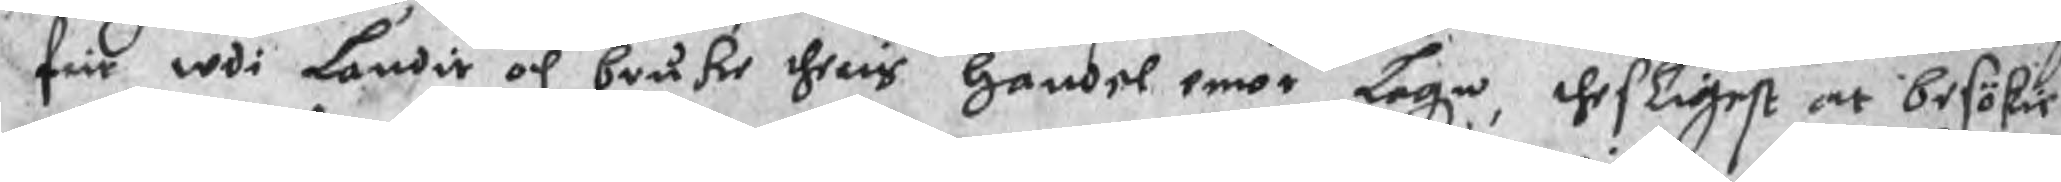frie wdi Landit och bruke theris handel emot Lagn, thesligest at besökie
